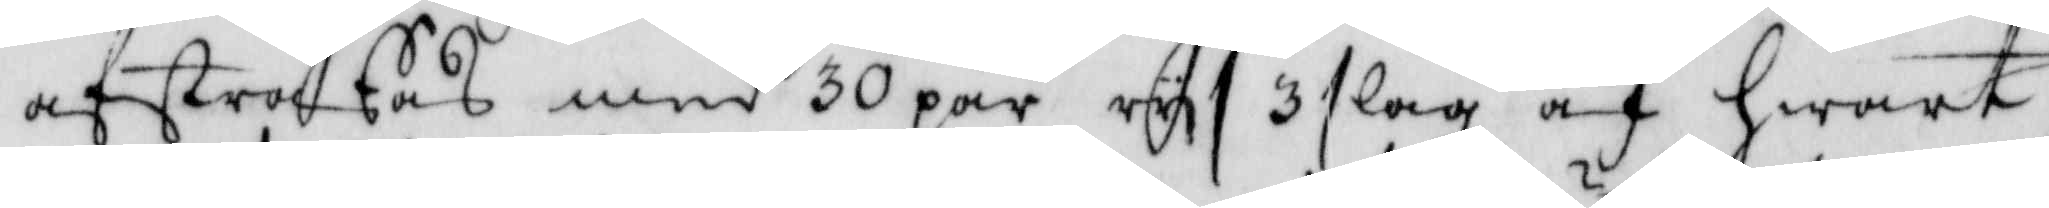afstraffas med 30 par rys 3 slag af hwart
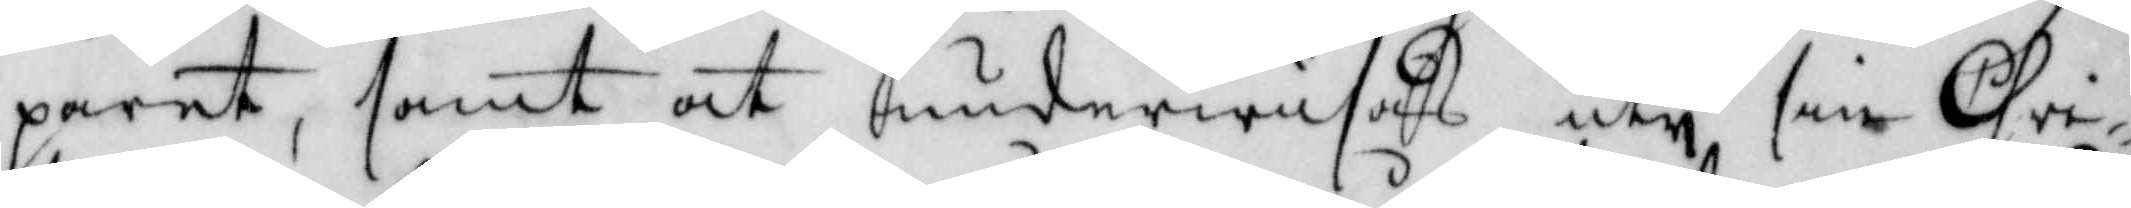paret, samt at underwisas uty sin Chri¬
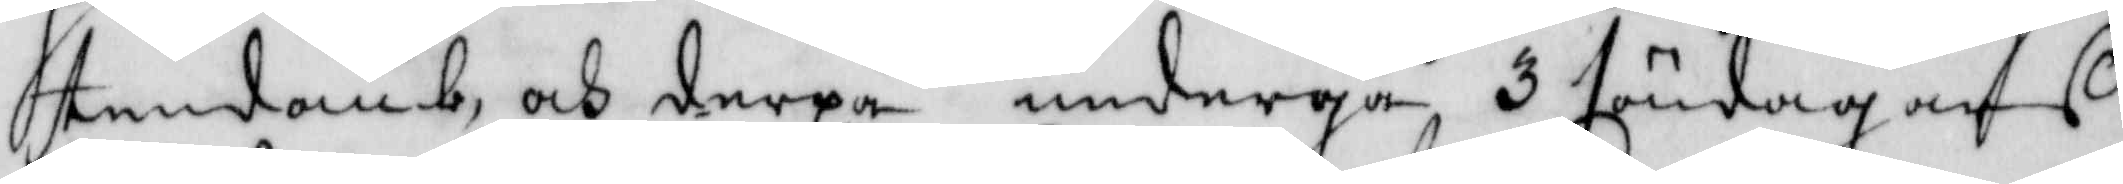stendomb, och derpå undergå 3 söndagars
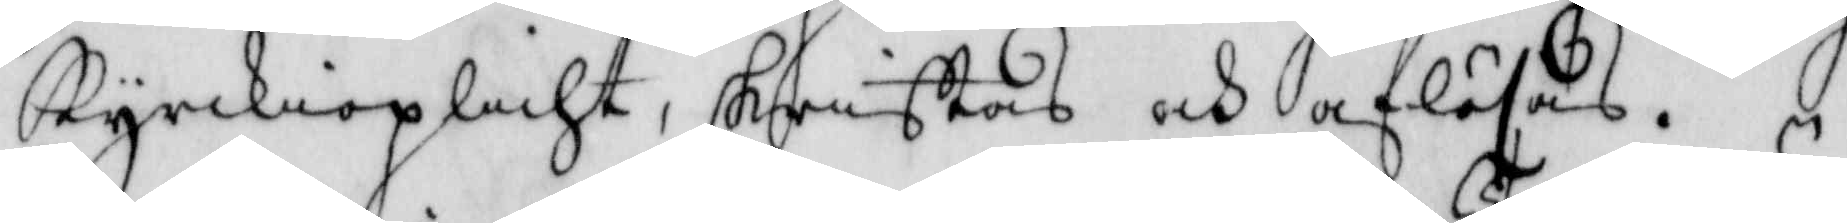Kyrkioplicht, skrifftas och aflösas.
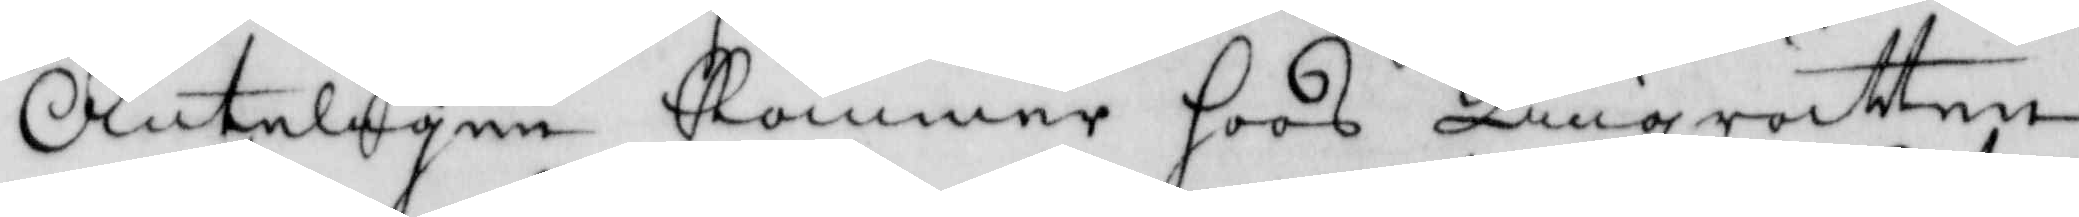Änteligen Kommer hoos Tingsrätten
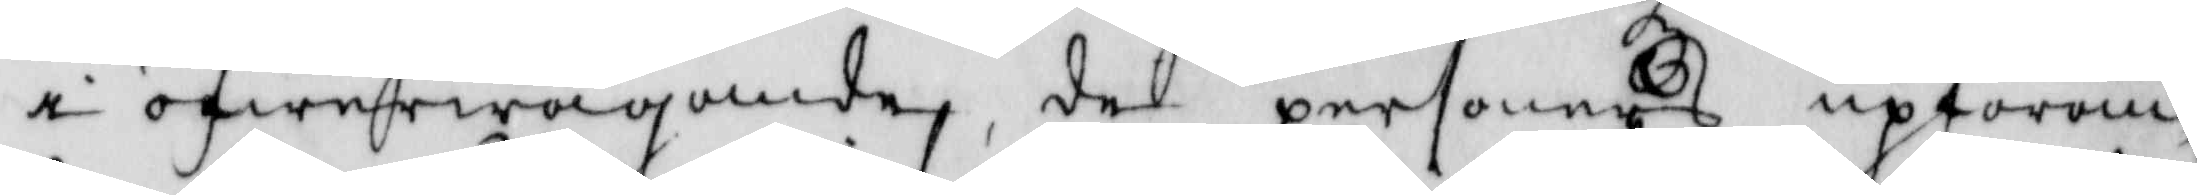i öfwerwägande, de personers upföran¬
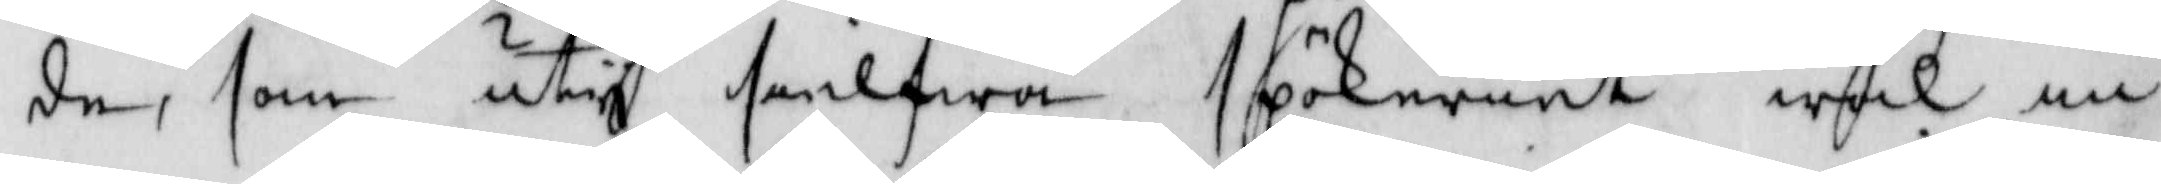de, som uty sielfwa spökeriet wäl in¬
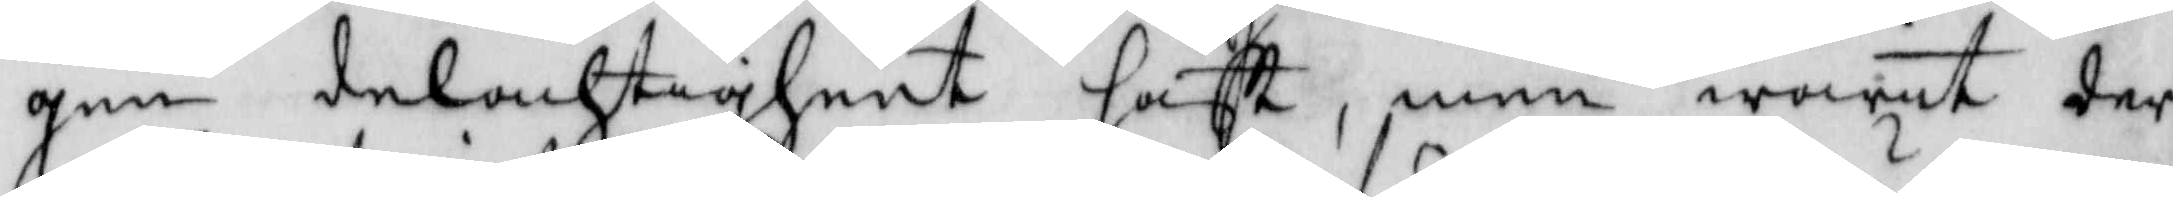gen delachtigheet hafft, men warit der
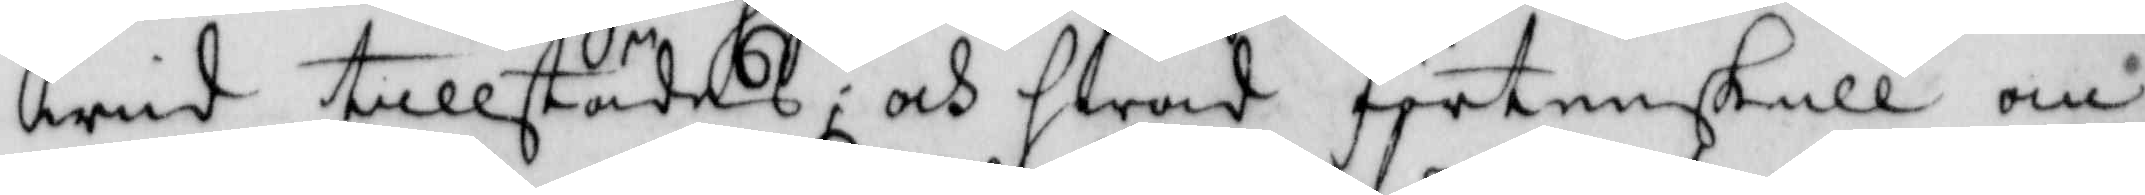wid tillstädes; och hwad förtenskull an¬
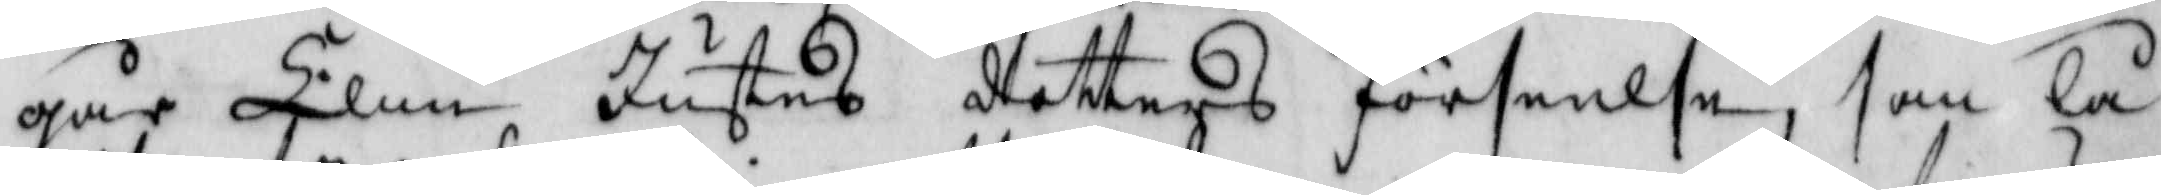går Elin Jutes dotters förseelse, som lå¬
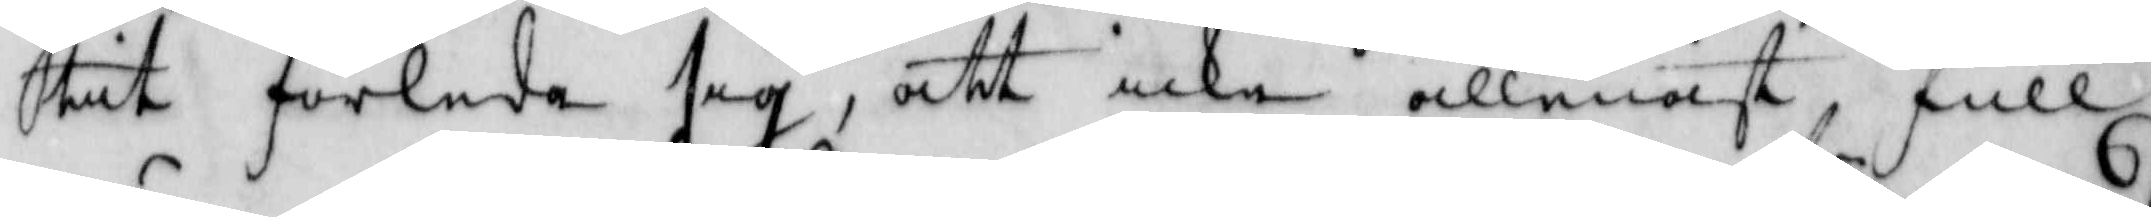tit förleda sig, att icke allenast full¬
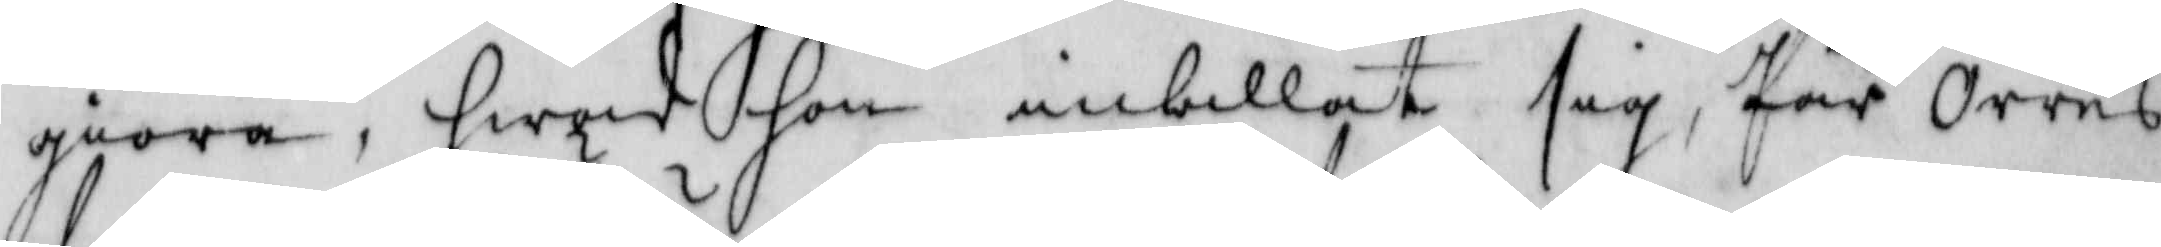giöra, hwad hon inbillat sig, Pär Orres
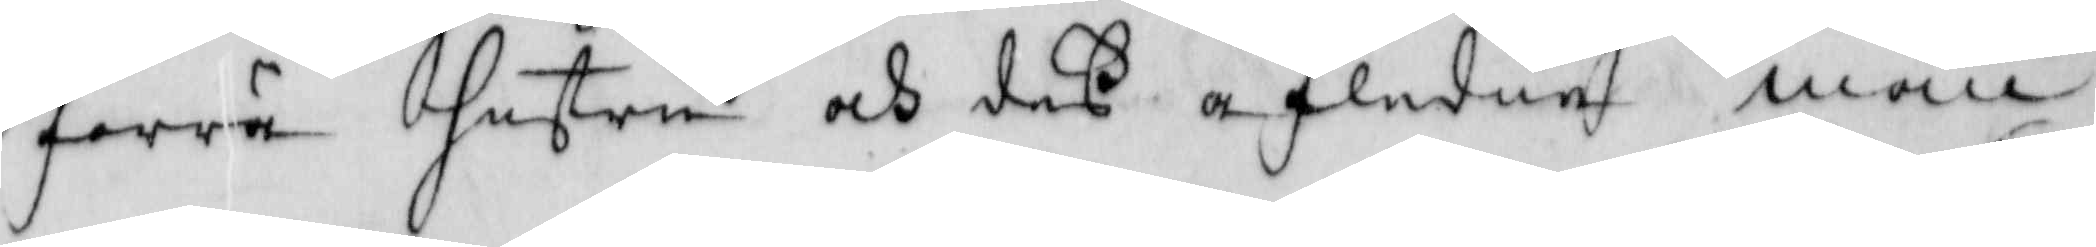förra hustru och deß afledne man 
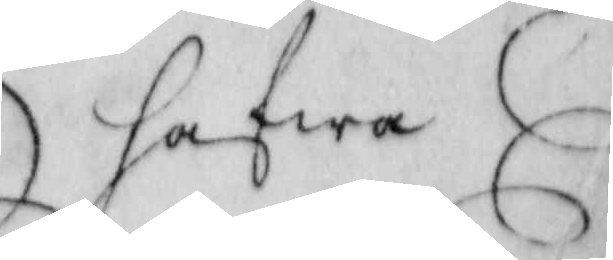hafwa
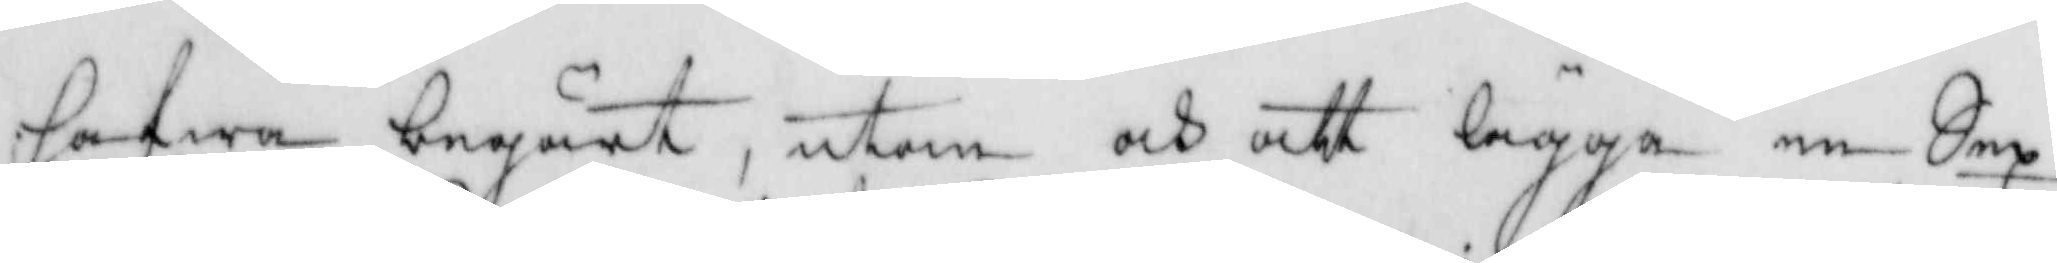hafwa begärdt, utan och att lägga en Sex
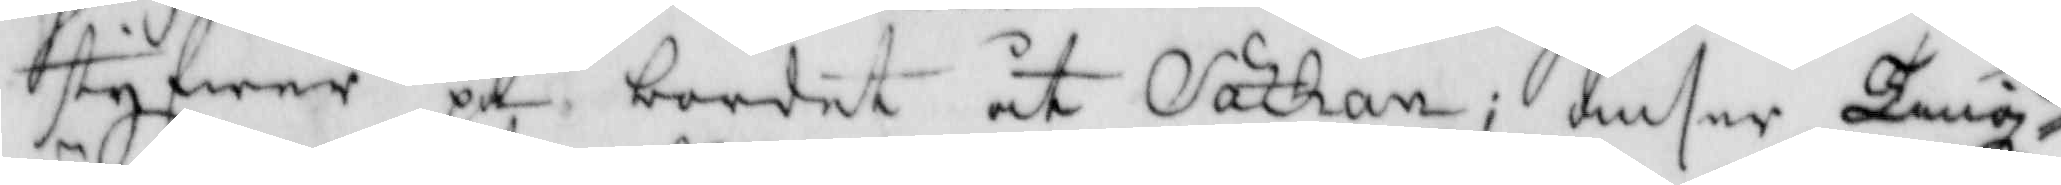styfwer på bordet åt Sathan, omser Tingz¬
